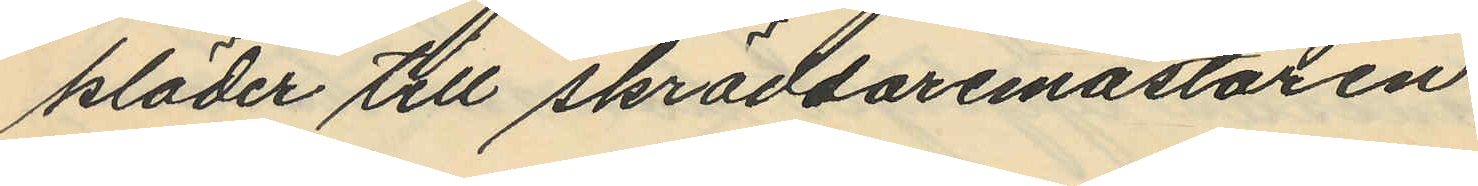kläder till skräddaremästaren
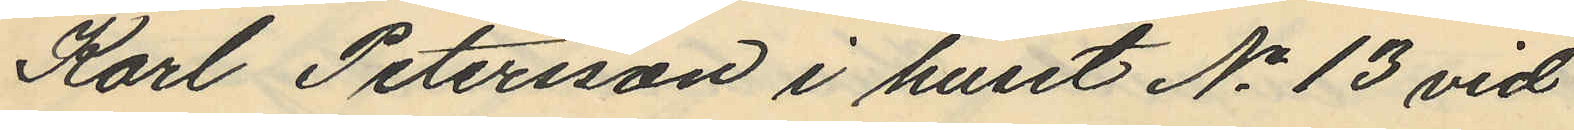Karl Petersson i huset No 13 vid
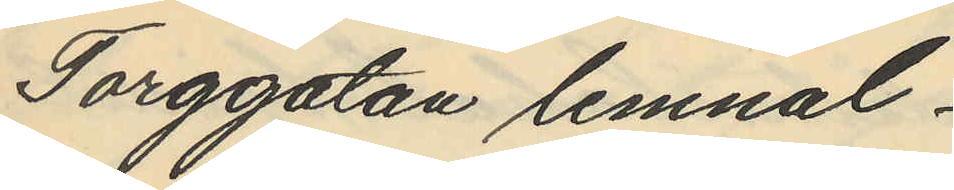Torggatan lemnal
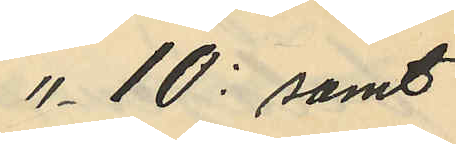" 10: samt
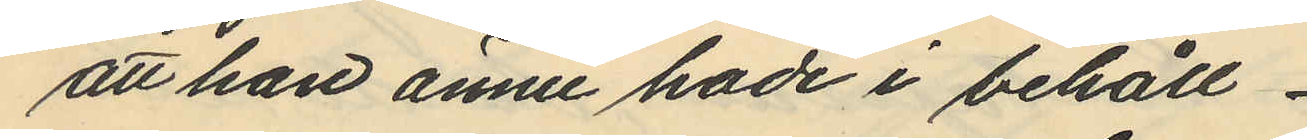att han ännu hade i behåll
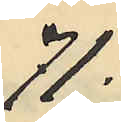71:
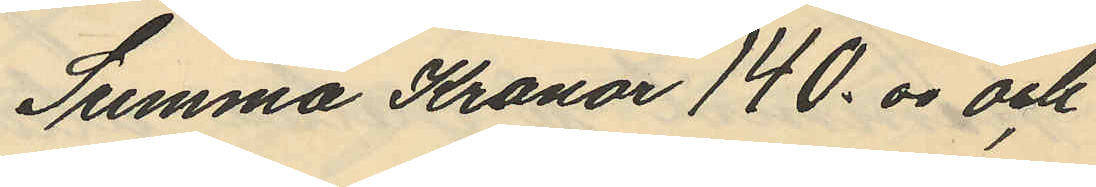Summa Kronor 140.00 och
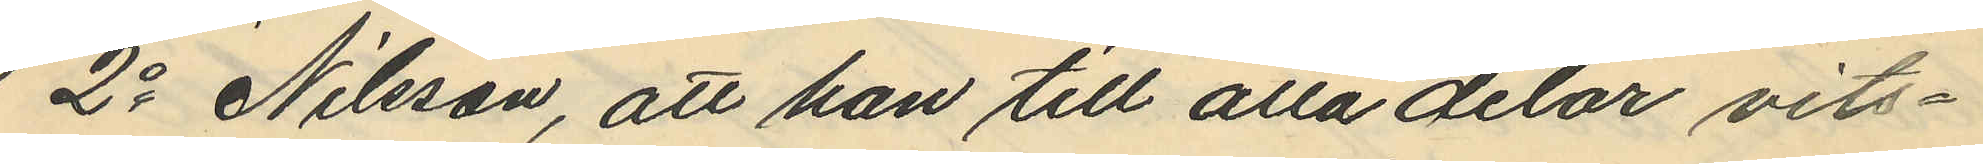2o Nilsson, att han till alla delar vits¬
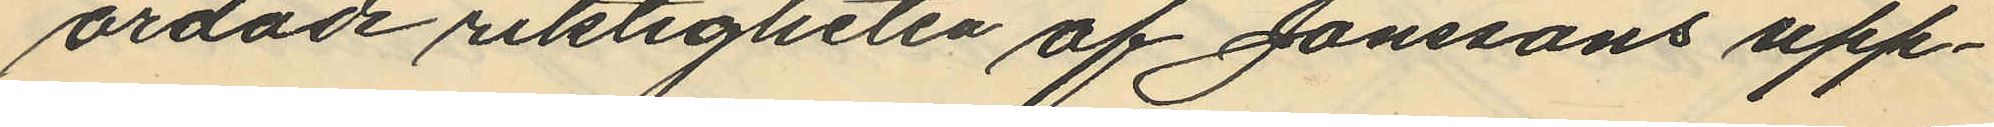ordade riktigheten af Jonssons upp¬
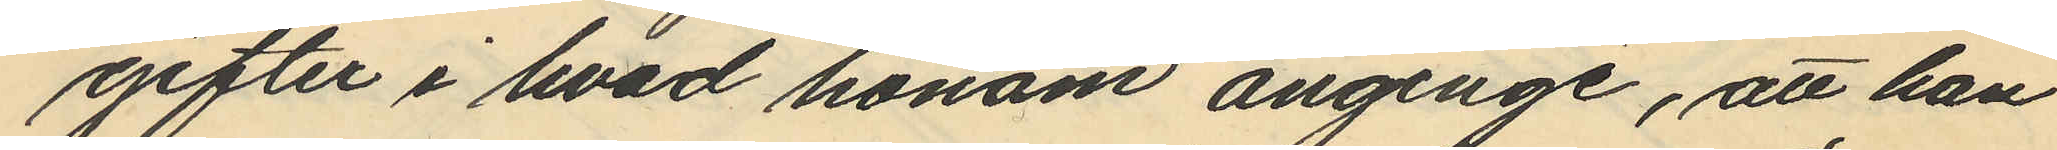erfter i hvad honom anginge, att han
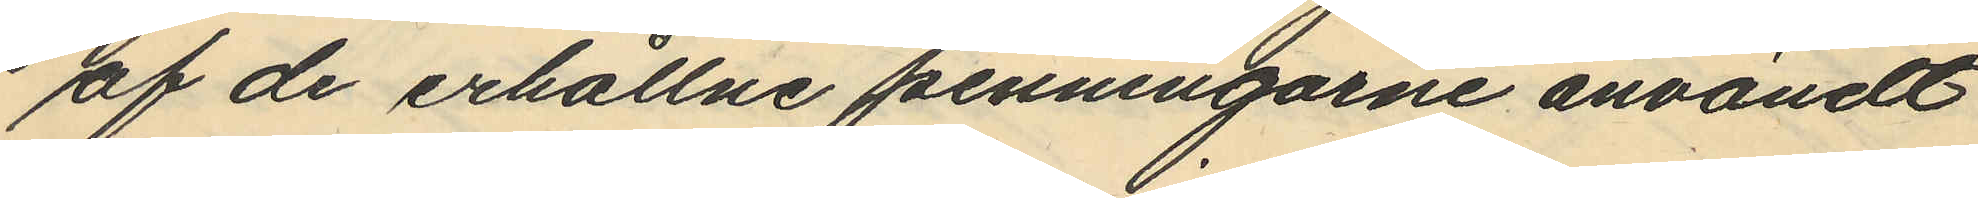af de erhållne penningarne användt
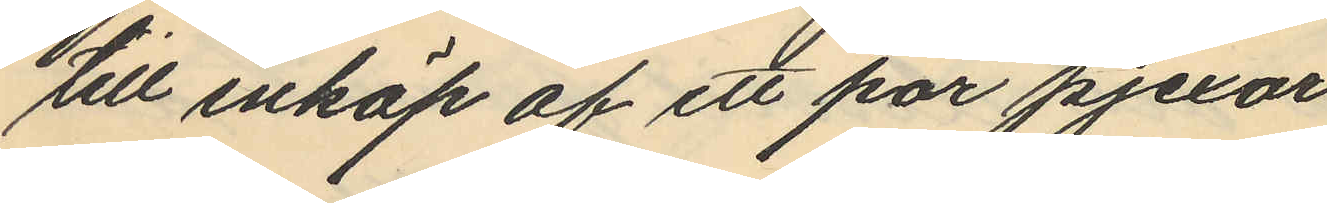till inköp af ett par pjexor
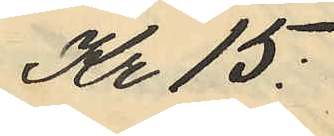Kr 15:
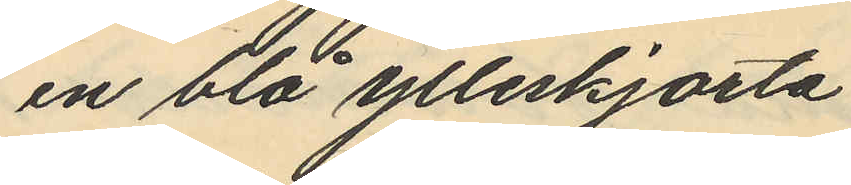en blå ylleskjorta
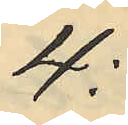4:
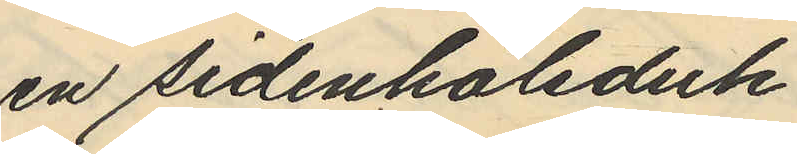en sidenhalsduk
